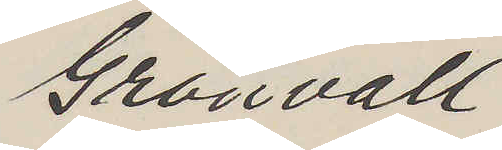Grönvall
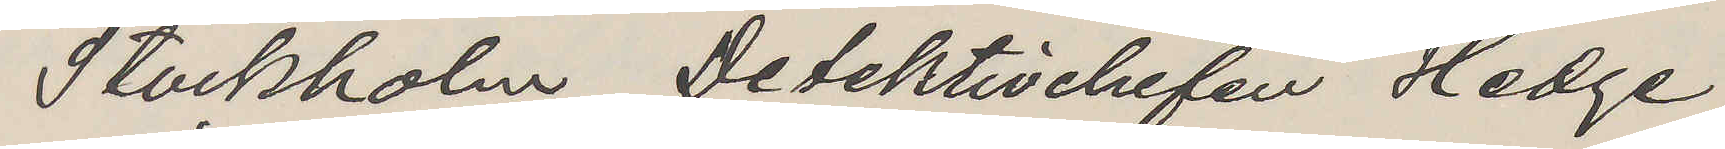Stockholm Detektivchefen Hedge
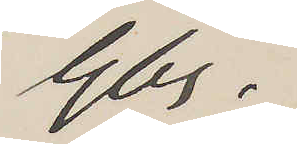Gbg.
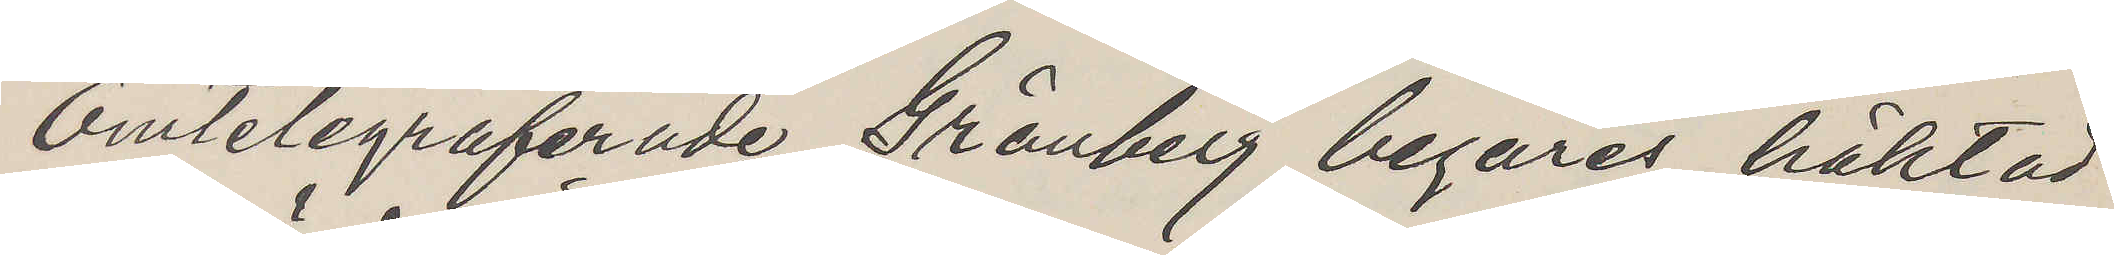Omtelegraferade Grönberg begäres häktad
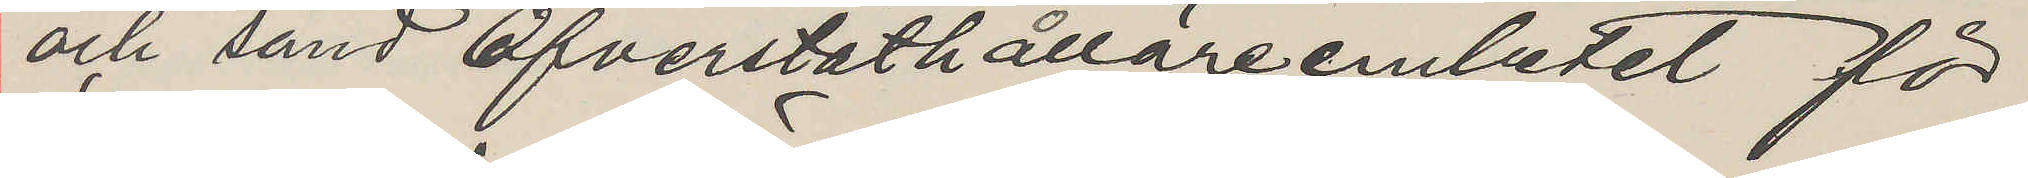och sänd Öfverståthållareembetet för
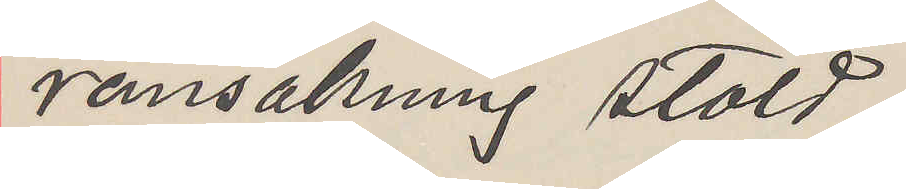ransakning stöld.
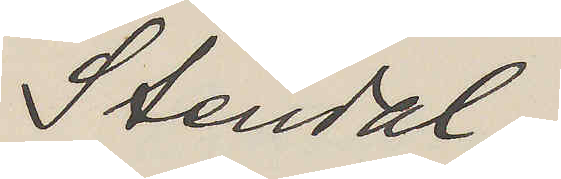Stendal.
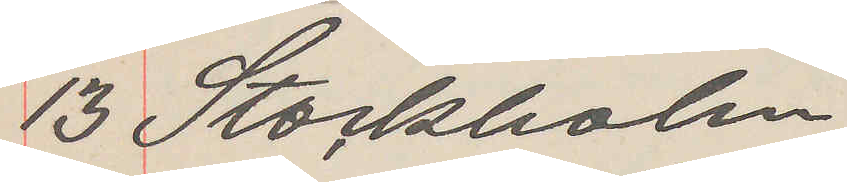13 Stockholm
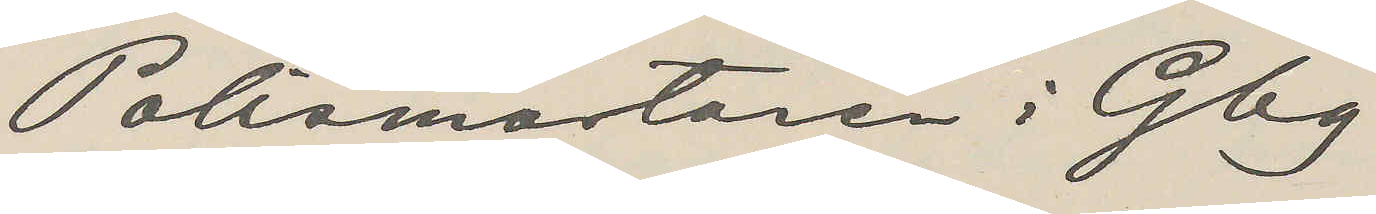Polismästaren i Gbg
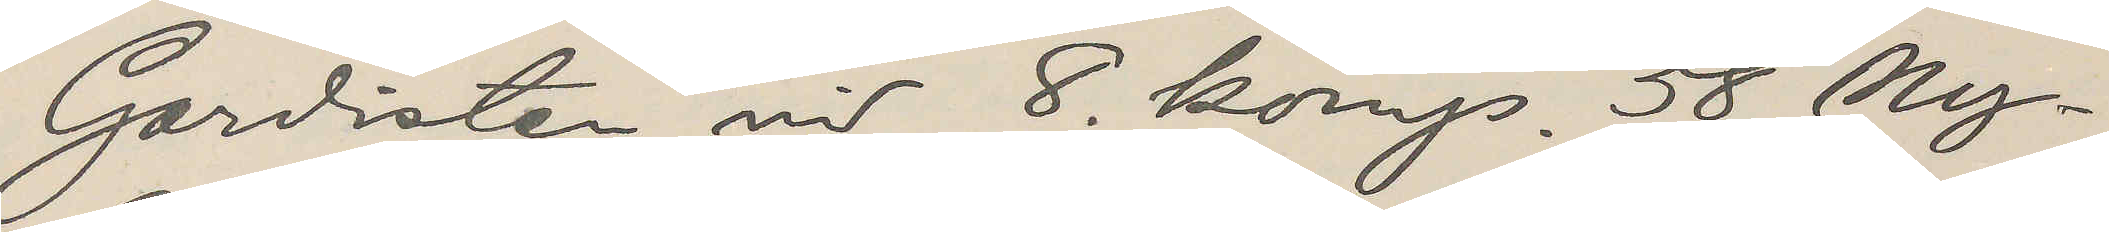Gardisten vid 8 komp. 58 Ny¬
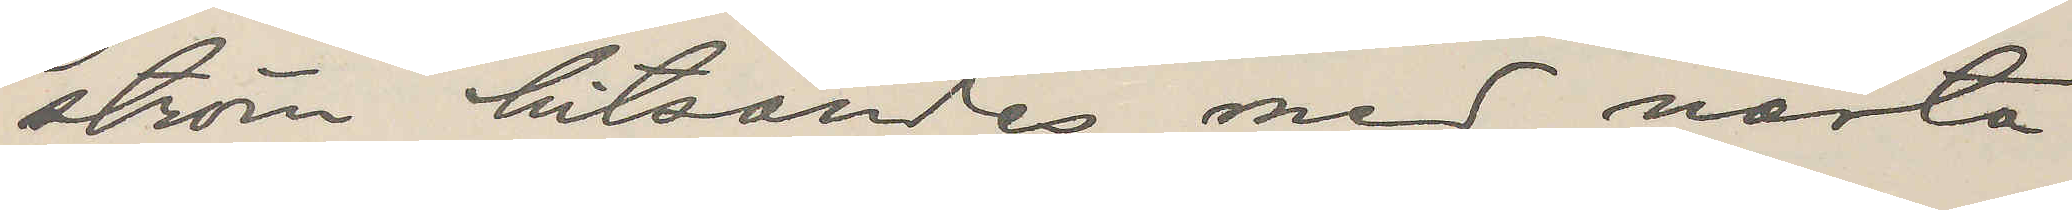ström hitsändes med nästa
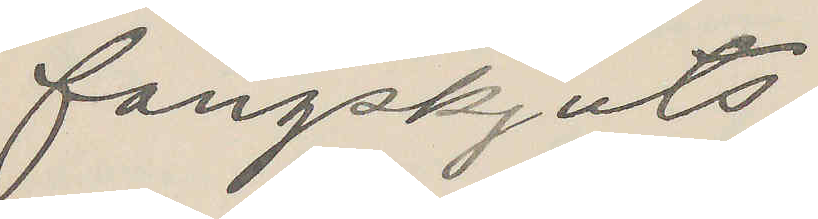fångskjuts.
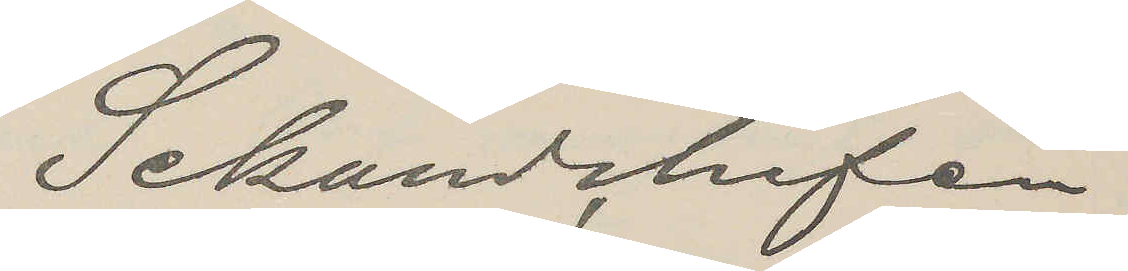Sekundchefen
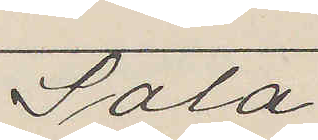Sala
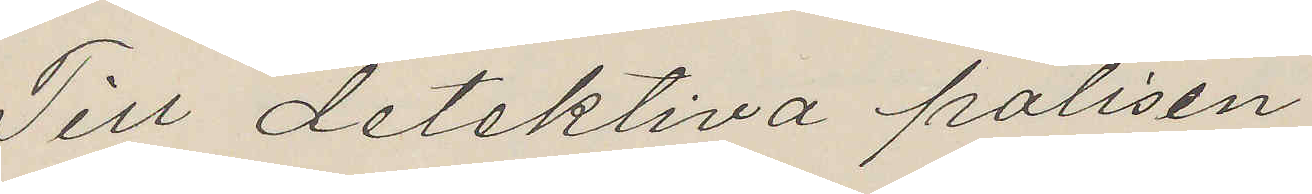Till detektiva polisen
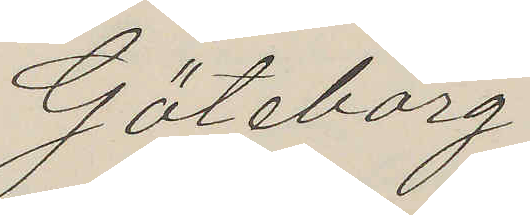Göteborg
